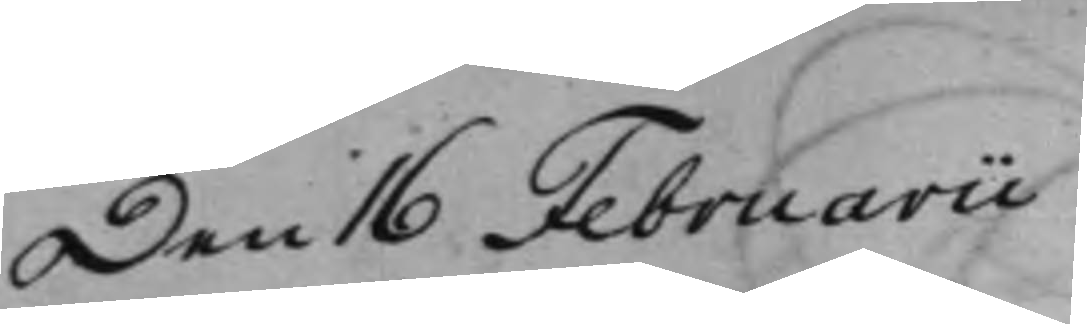Den 16 Februarii
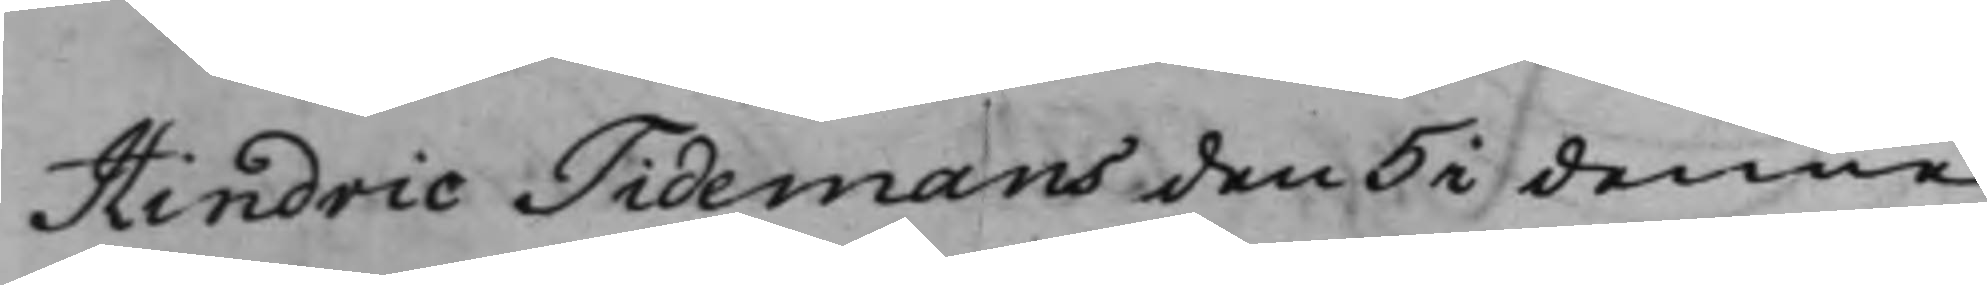Hindric Tidemans den 5 i denne
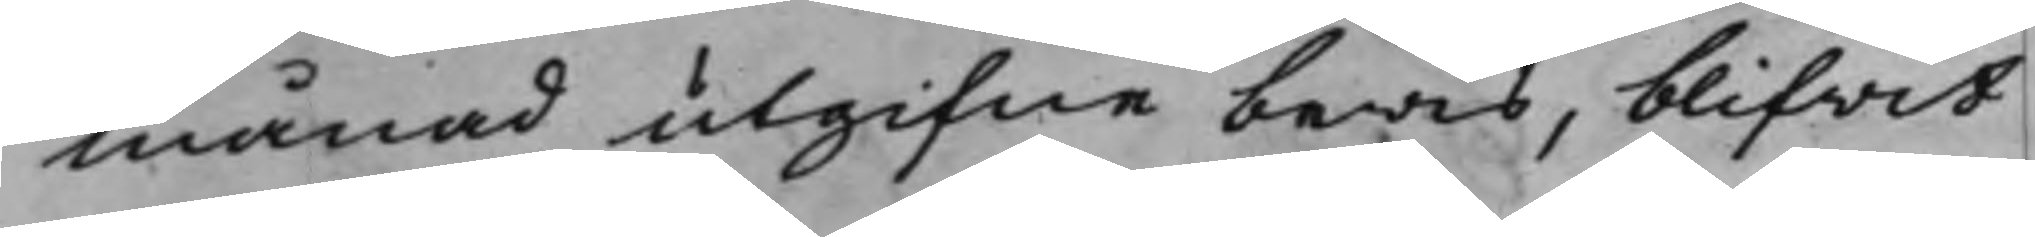månad utgifne bewis, blifvit
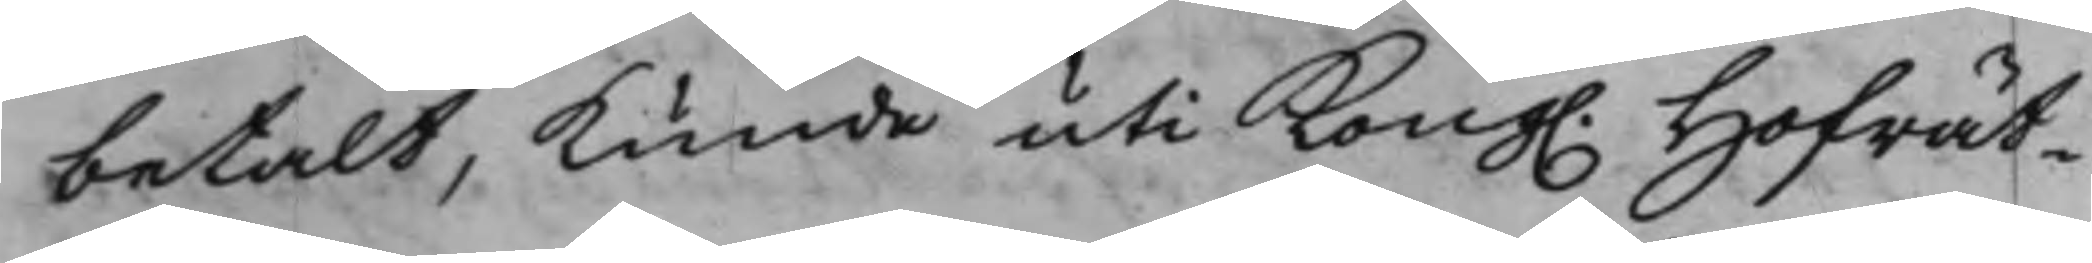betalt, kunde uti Kong. Hofrät¬
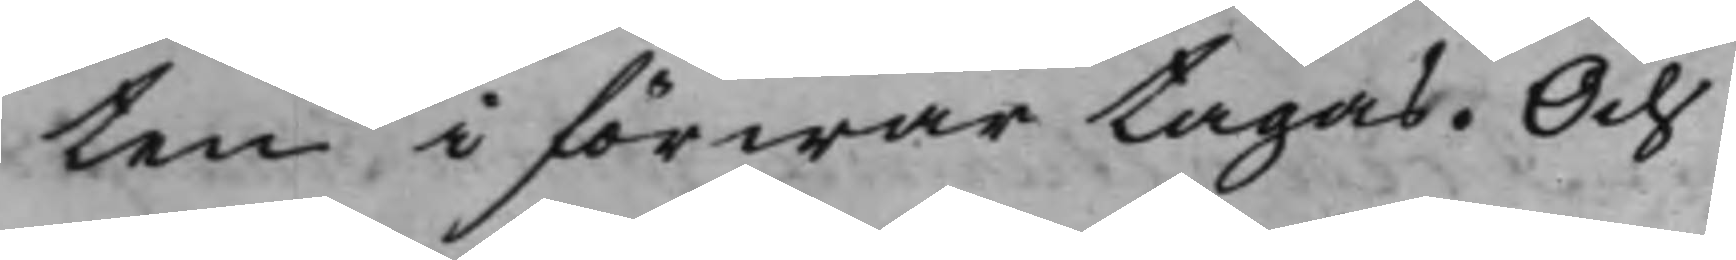ten i förwar tagas. Och
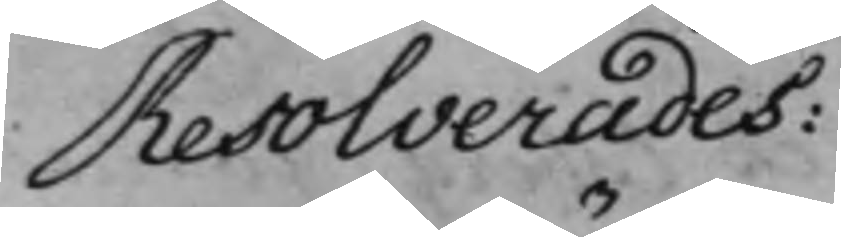Resolverades:
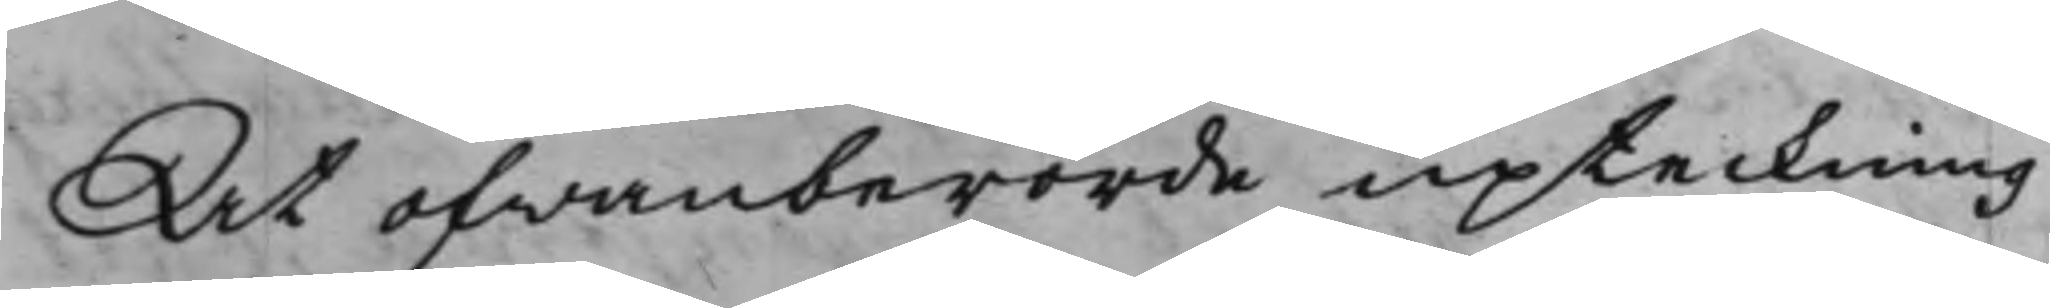At ofwanberörde upteckning
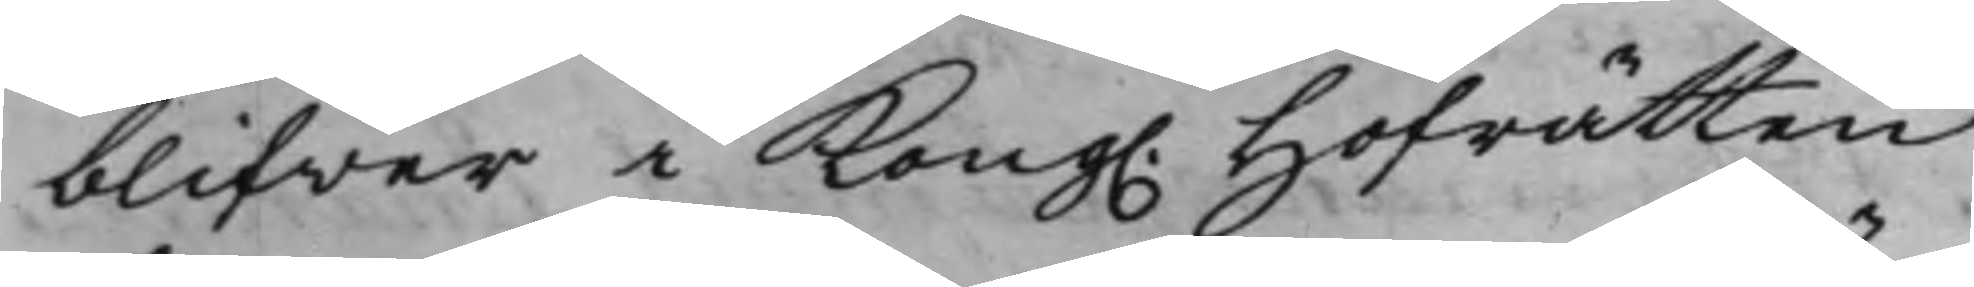blifver i Kong. Hofrätten
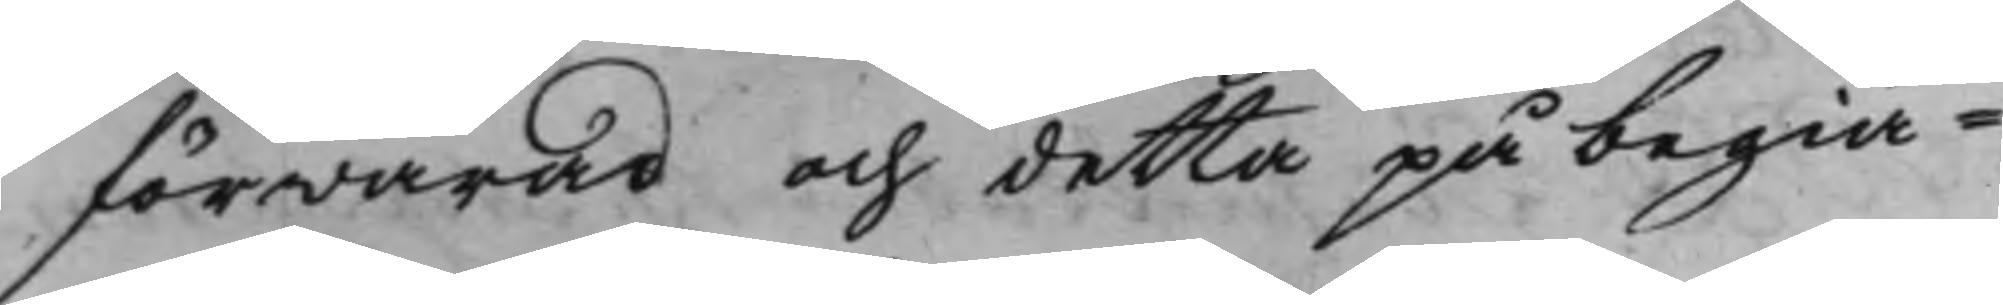förwarad och detta på begiä¬
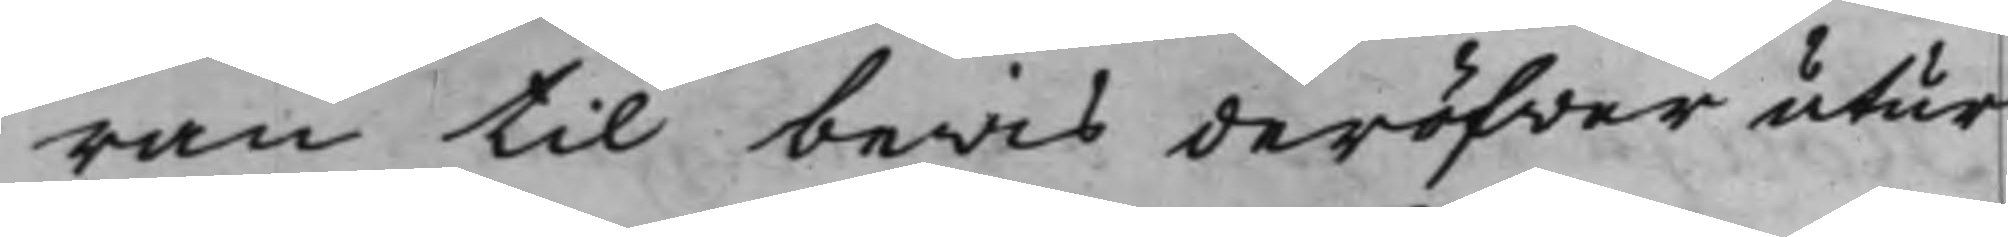ran til bewis deröfver utur
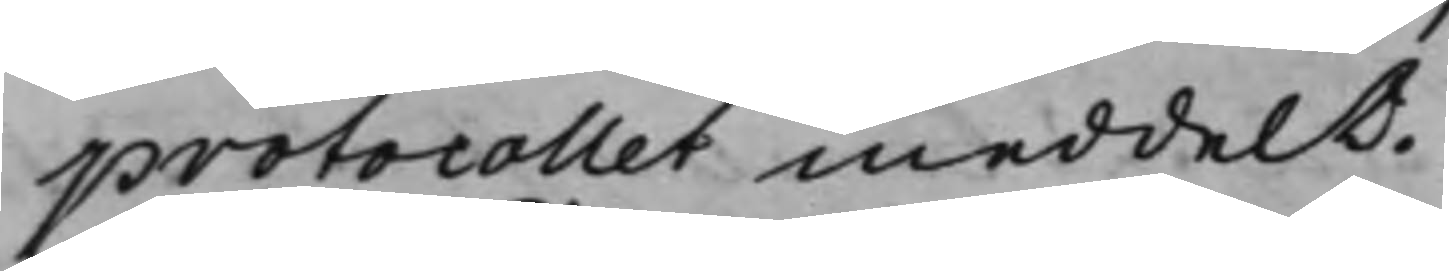protocollet meddelt.
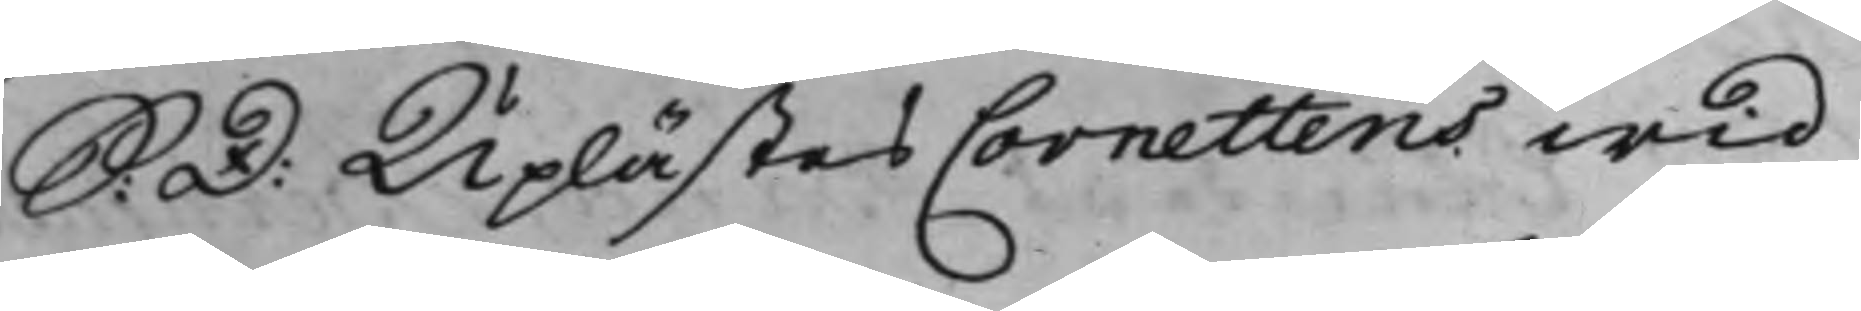S: D: Uplästes Cornettens wid
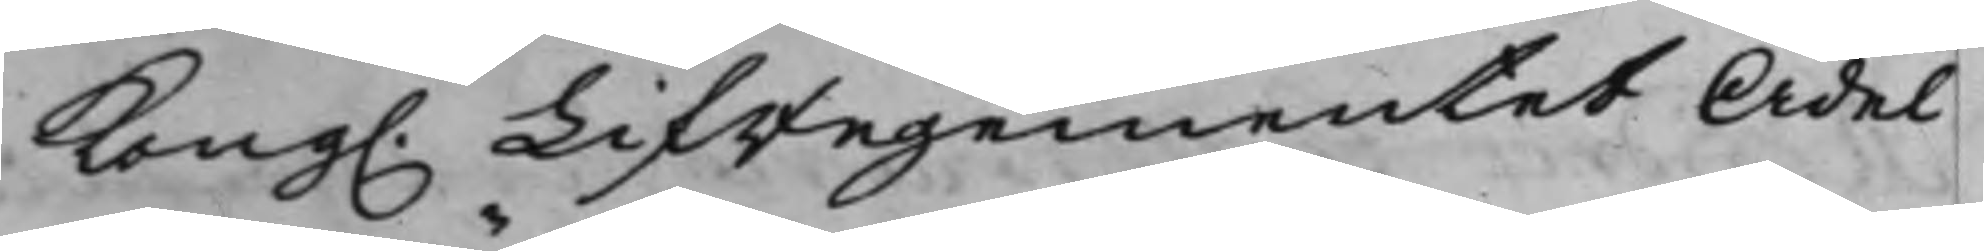Kong. Lifregementet Ädel
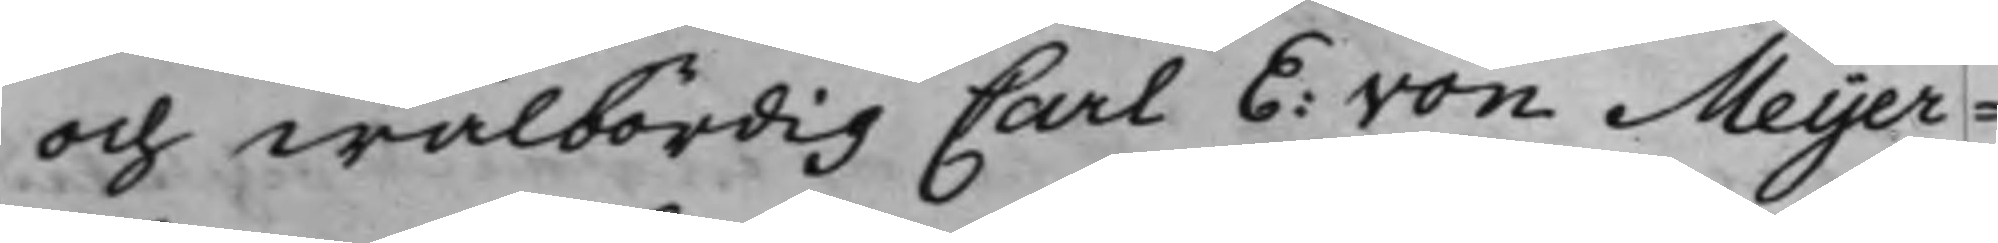och wälbördig Carl E: von Meijer¬
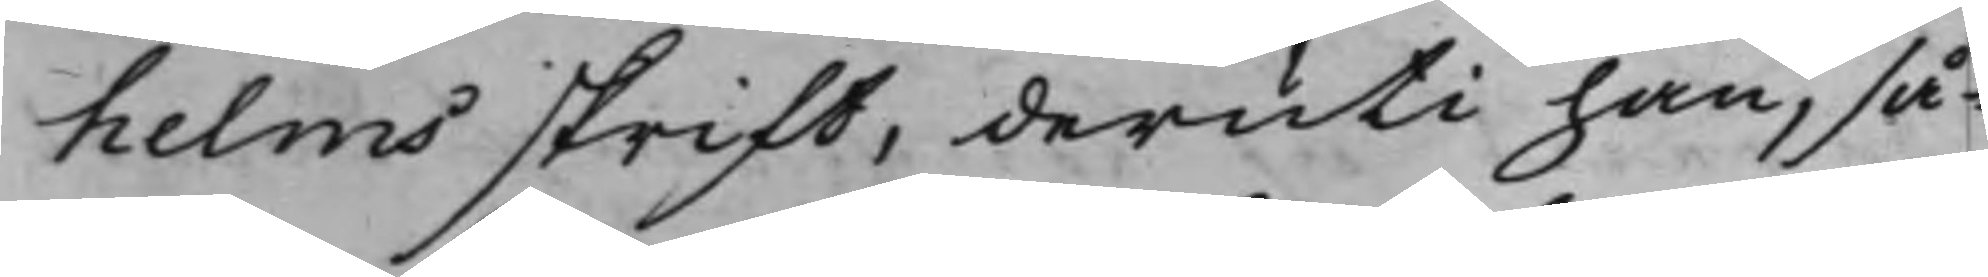helms skrift, deruti han, så¬
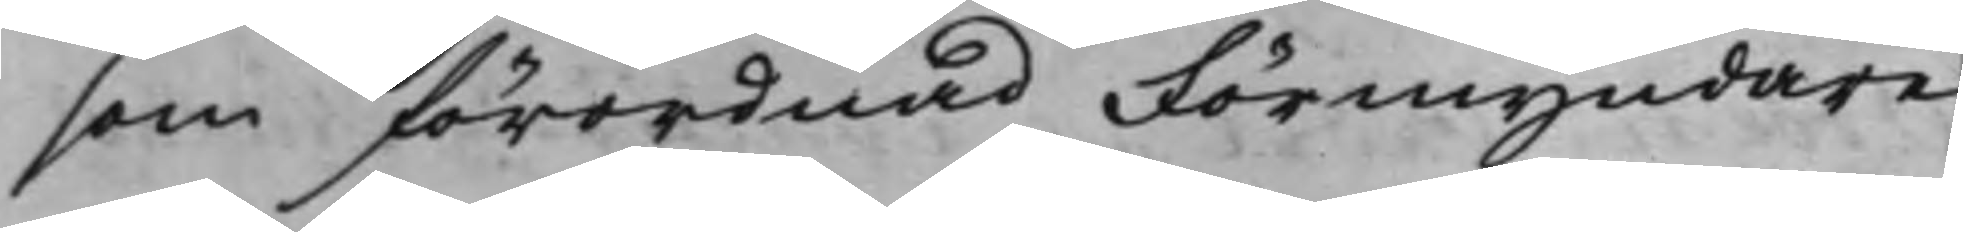som förordnad Förmyndare
